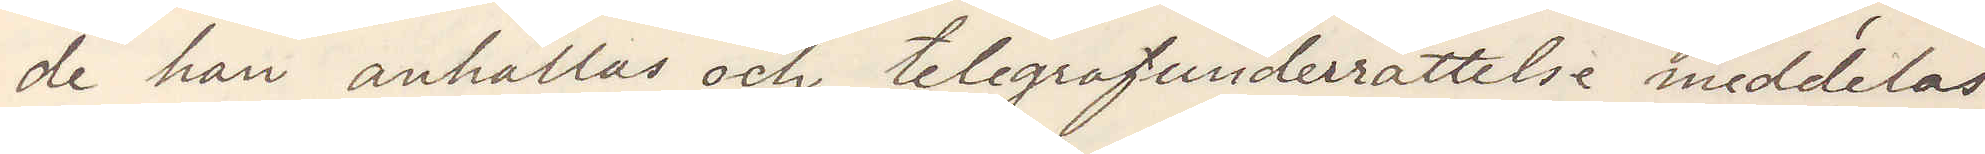de han anhållas och telegrafunderrättelse meddelas
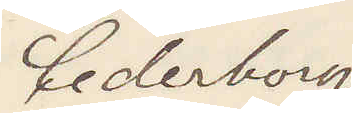Cederborg
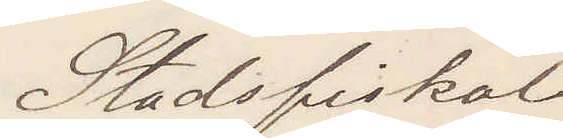Stadsfiskal
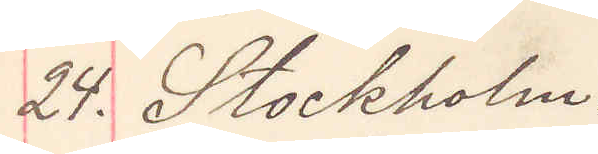24. Stockholm
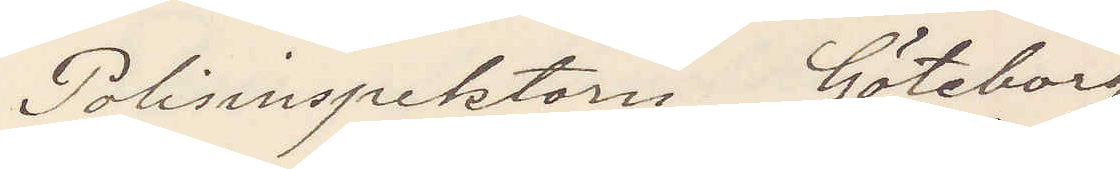Polisinspektorn Göteborg
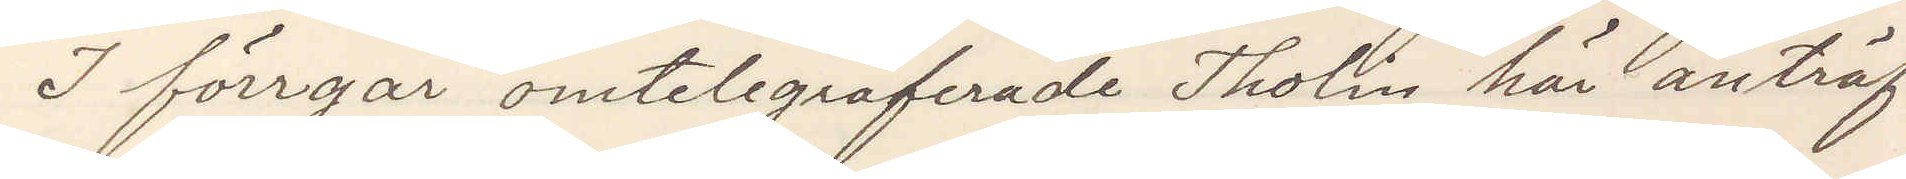I förrgår omtelegraferade Tholin här anträf¬
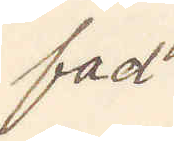fad
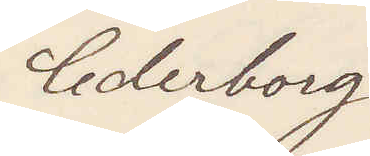Cederborg.
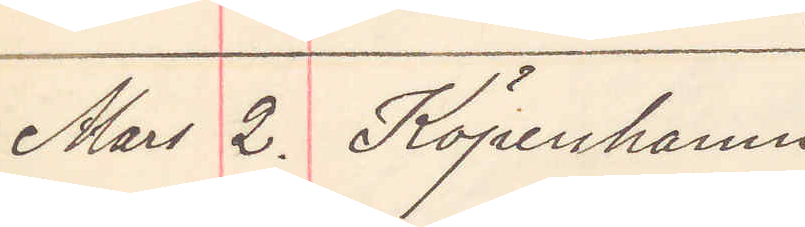Mars 2. Köpenhamn
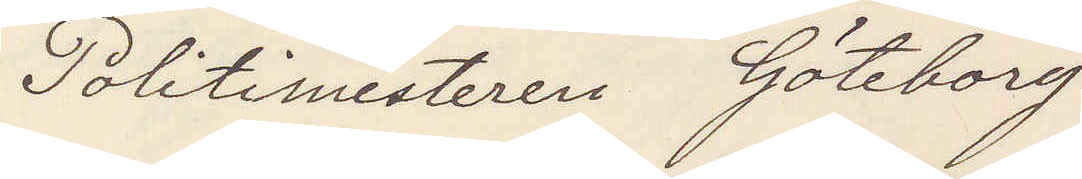Politimesteren Göteborg
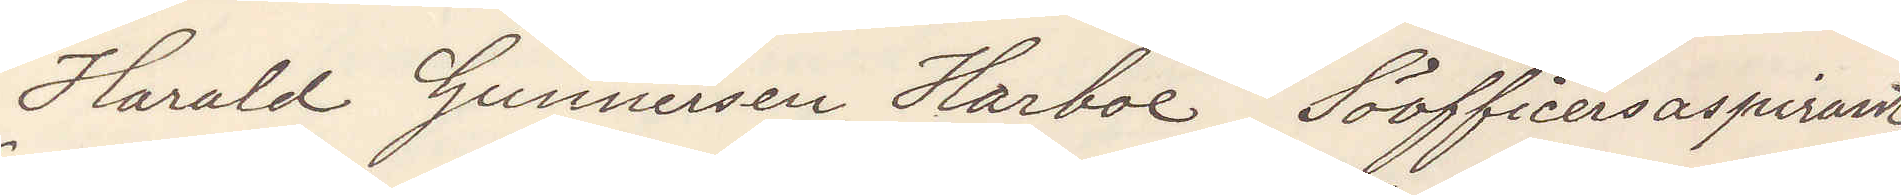Harald Gunnersen Harboe, Söofficersaspirant,
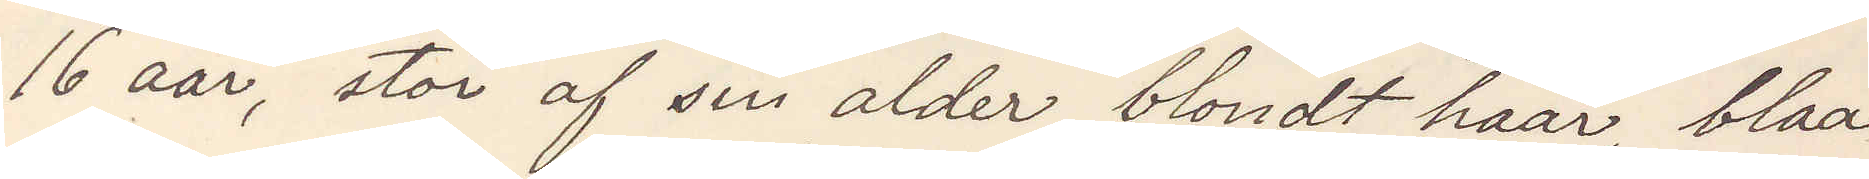16 aar, stor af sin alder blondt haar, blaa
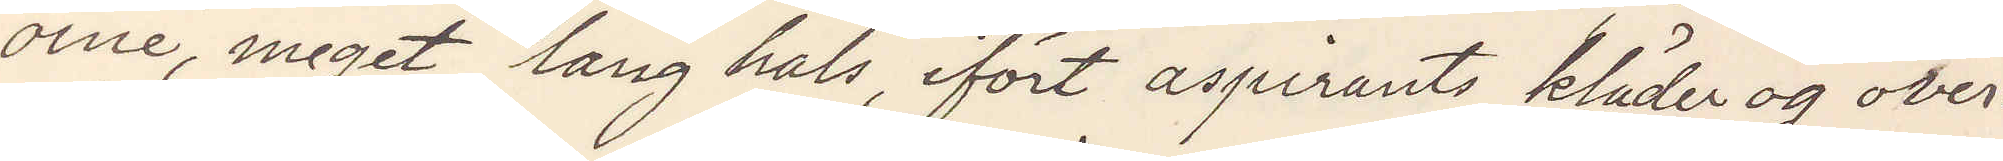oine, meget lang hals, ifört aspirants kläder og over¬
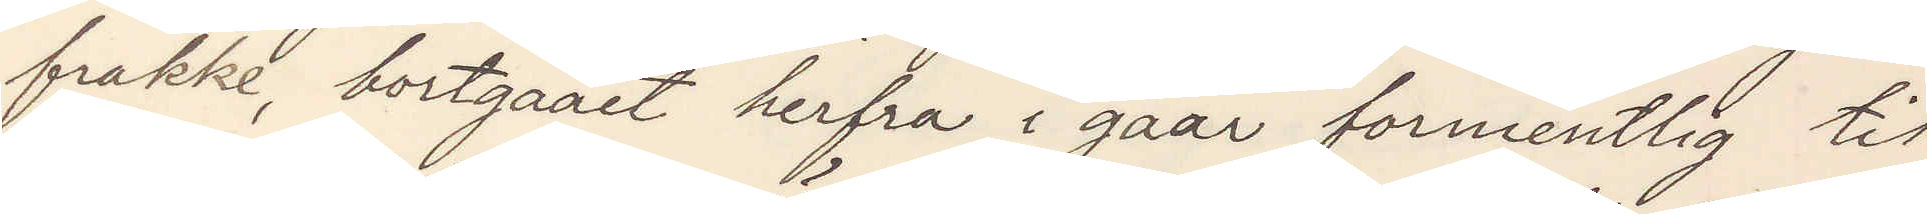frakke, bortgaet herfra i gaar formentlig til
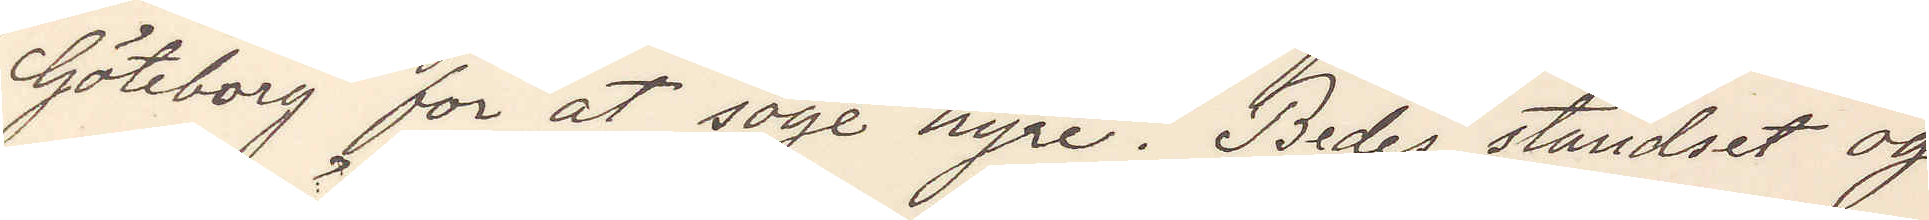Göteborg for at söge hyre. Bedes standset og
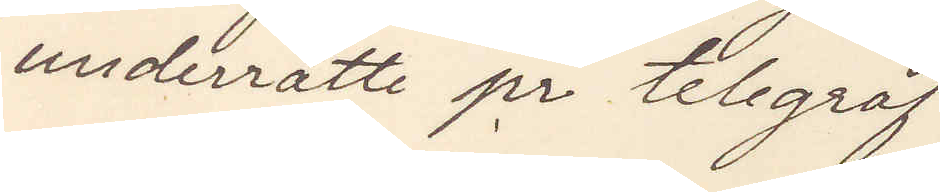underrätte pr telegraf.
